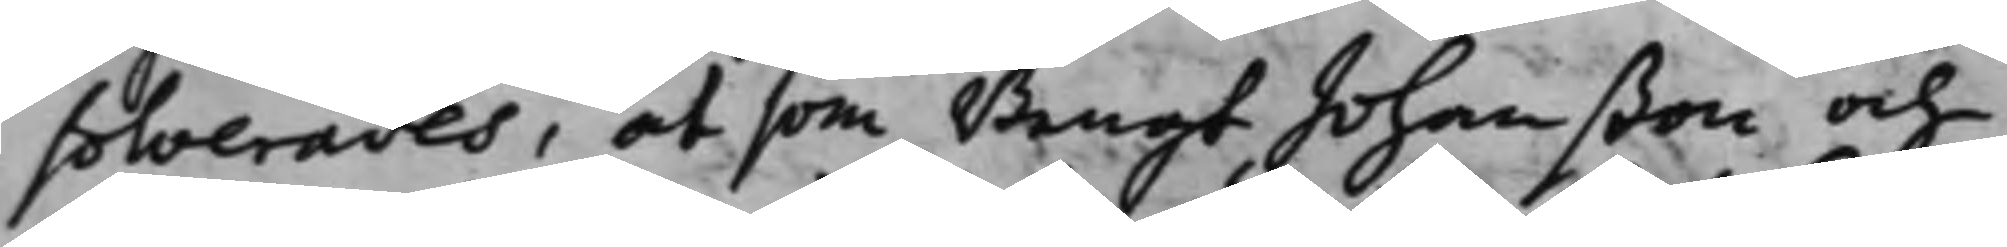solverades, at som Bengt Johanßon och
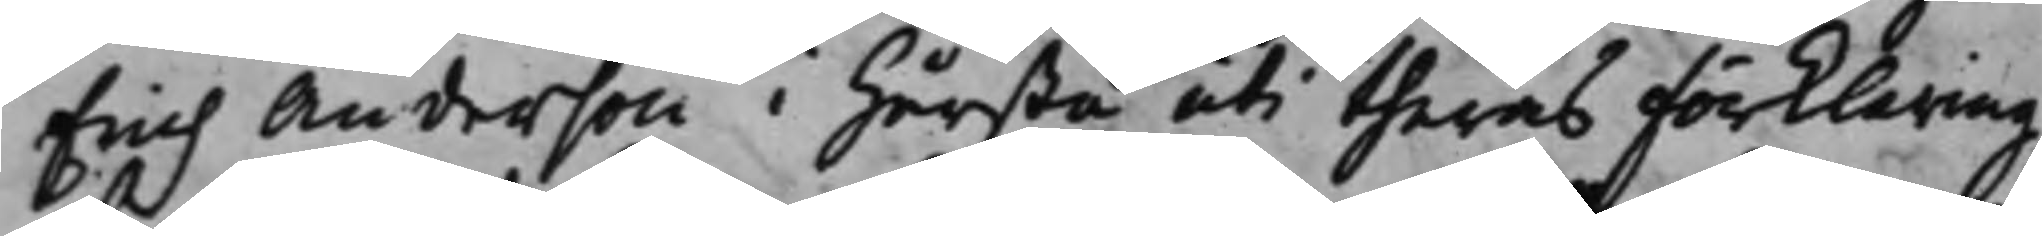Erich Anderson i Hårsta uti theras Förklaring
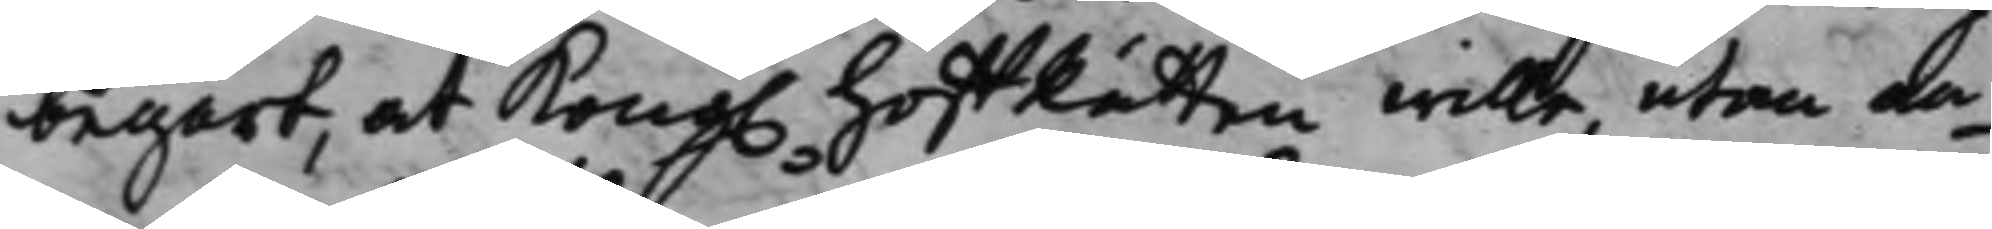begärt, at Kong. HoffRätten wille, utan an¬
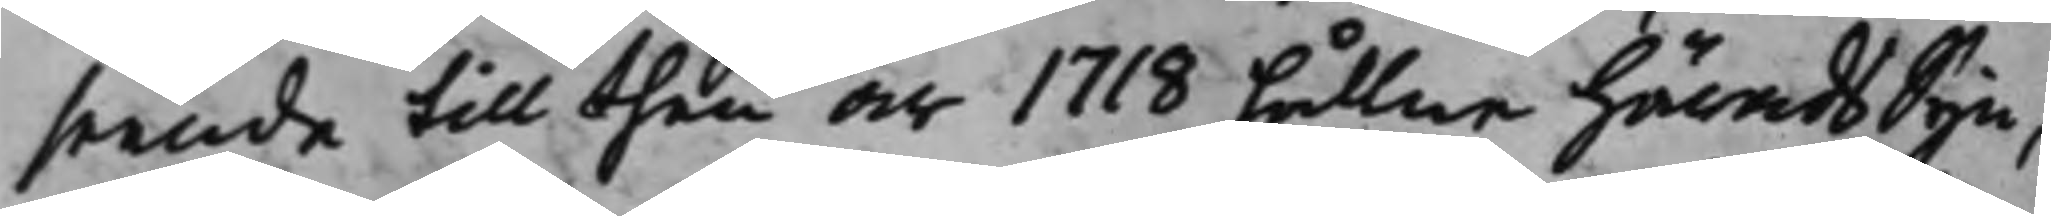seende till then år 1718 hållne HäradsSyn,
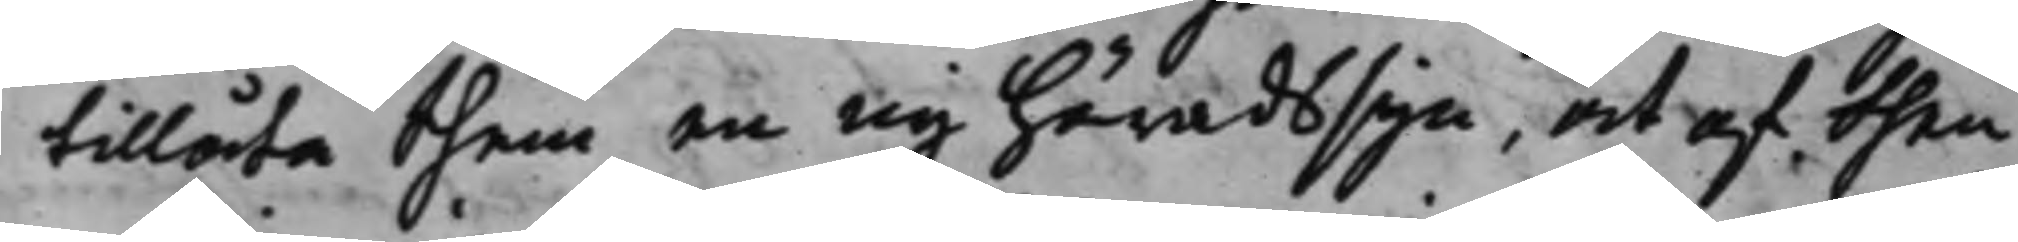tillåta them en ny Häradssyn, at af then
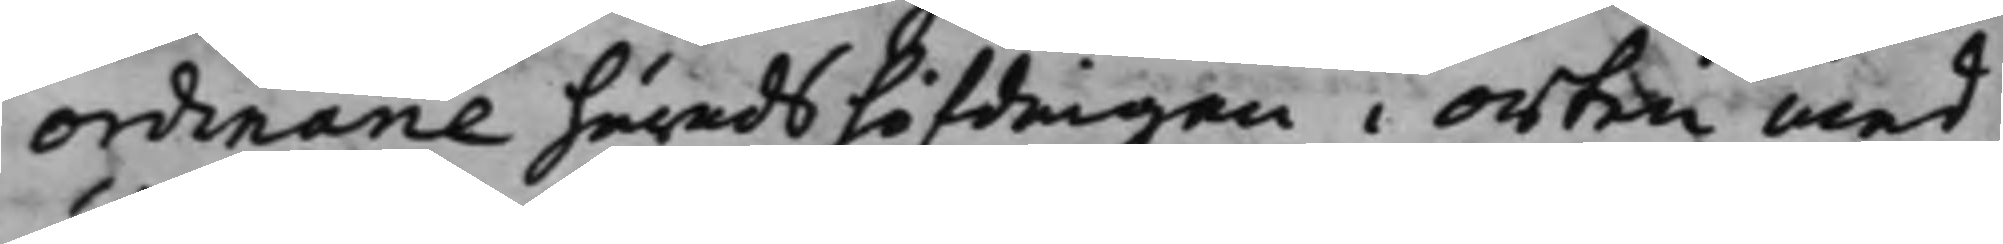ordinarie Häradshöfdingen i orten med
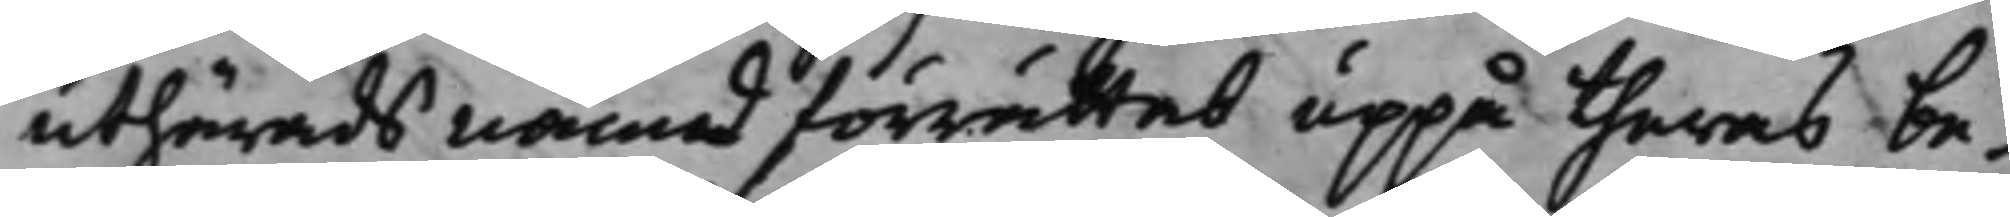uthärads nämd förrättat uppå theras be¬
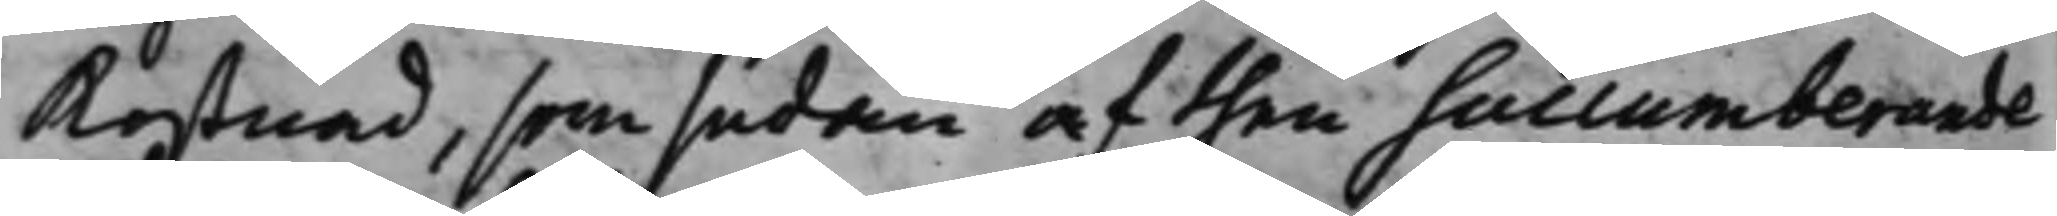kostnad, som sedan af then Succumberande
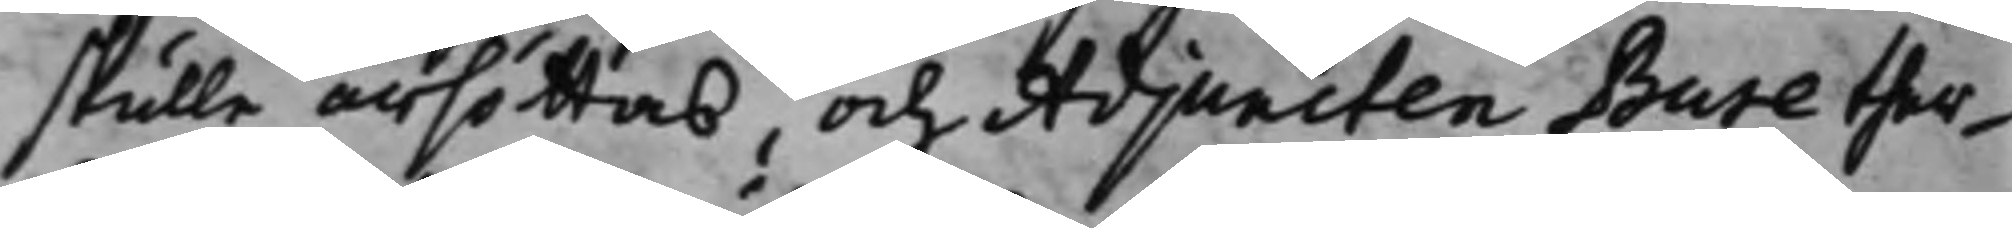skulle ärsättas, och Adjuncten Bure ther¬
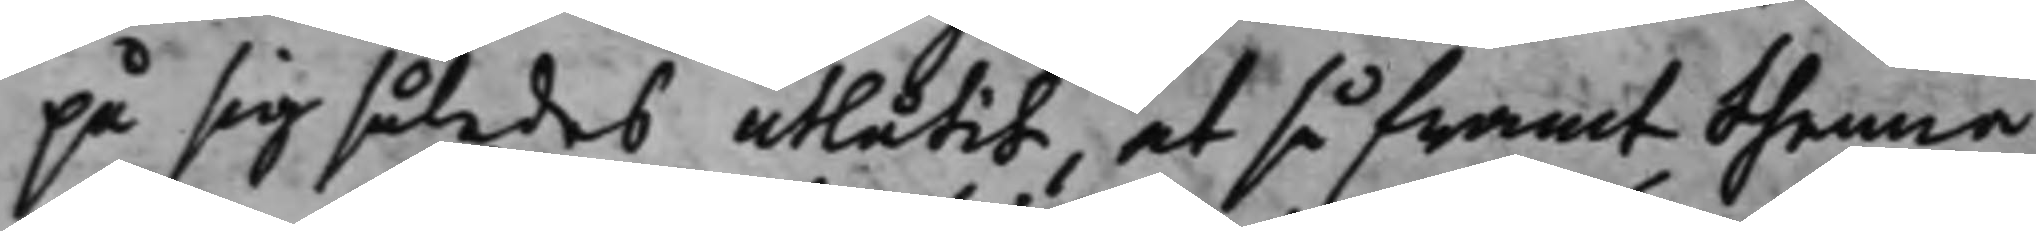på sig således utlåtit, at så framt thenna
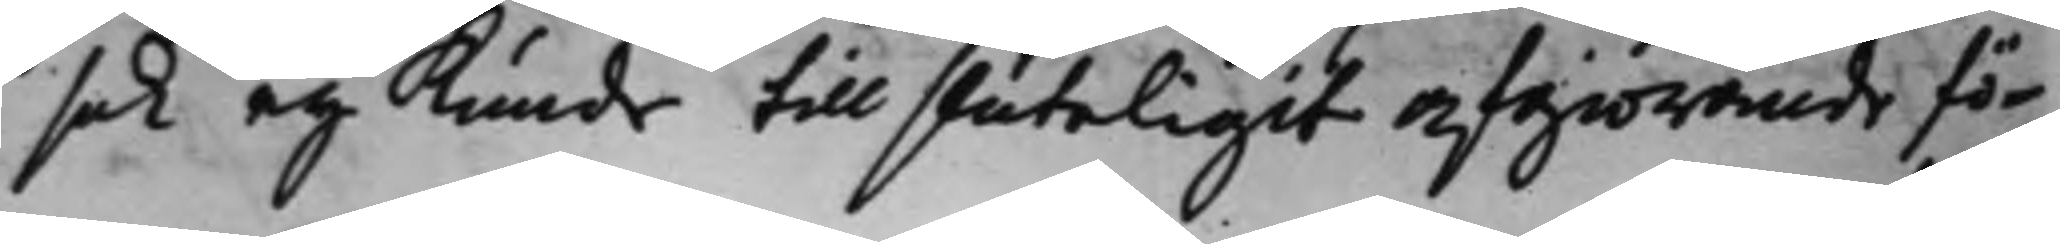sak eij kunde till sluteligit afgiörande fö¬
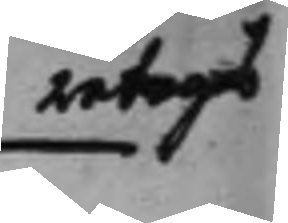retagas
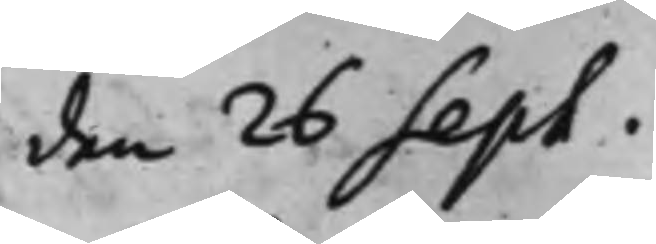den 26 Sept.
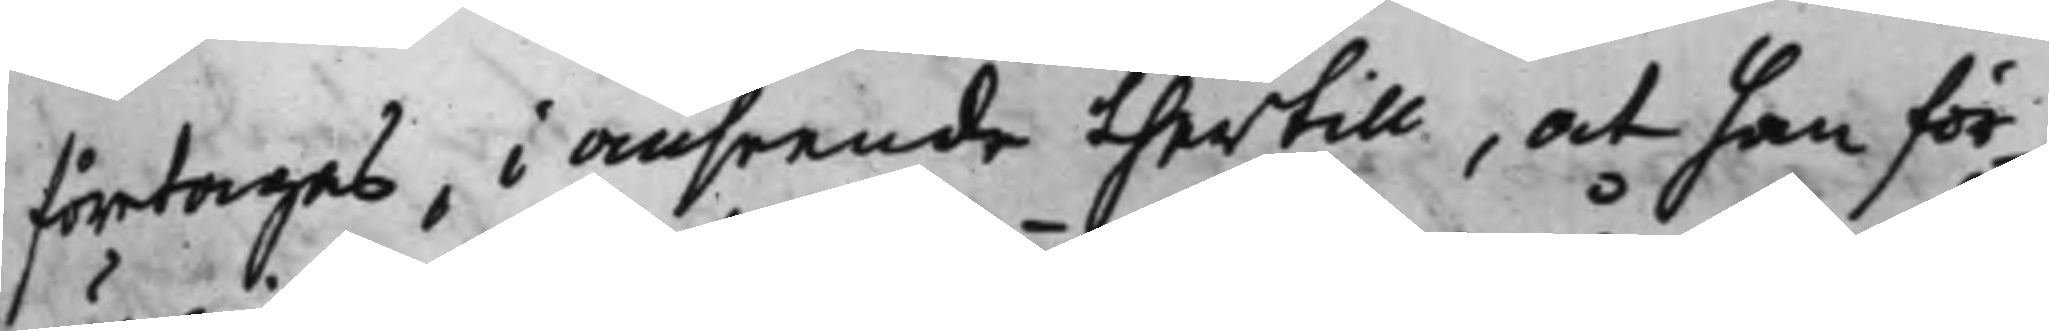företagas, i anseende thertill, at han för¬
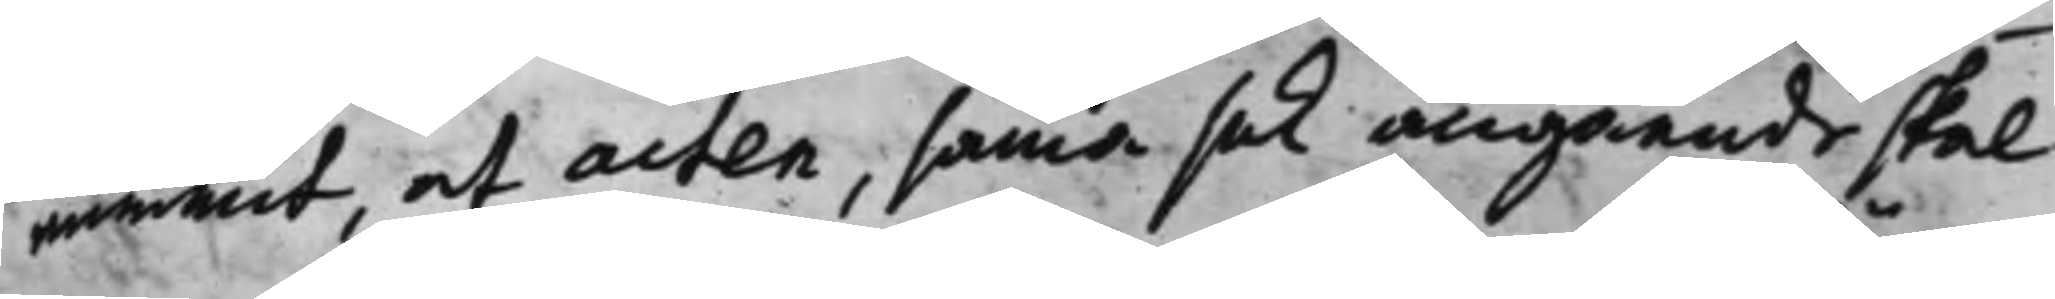nummit, at acten, samma sak angående skal
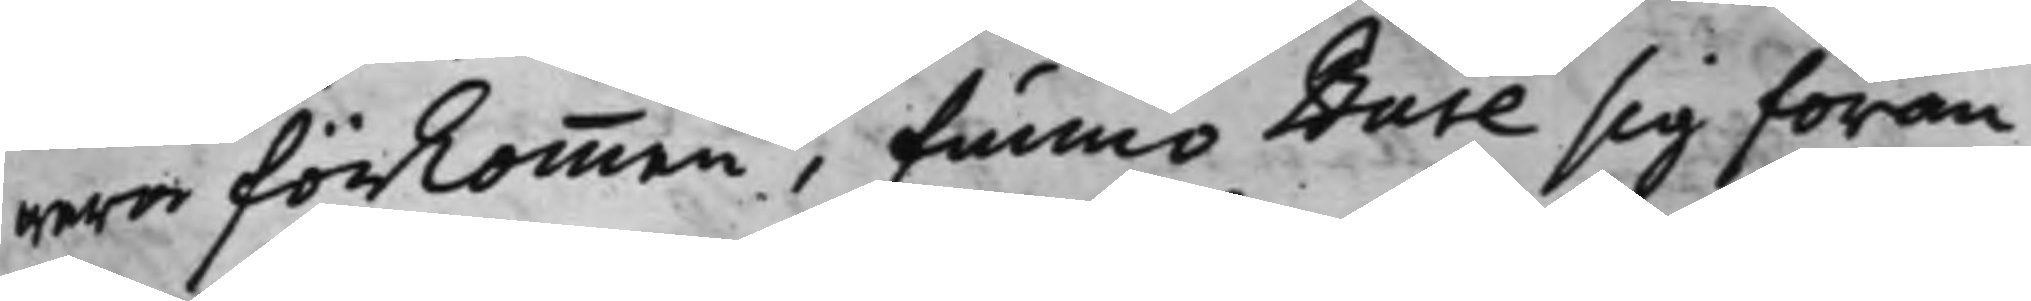wara förkommen, funno Bure sig föran¬
